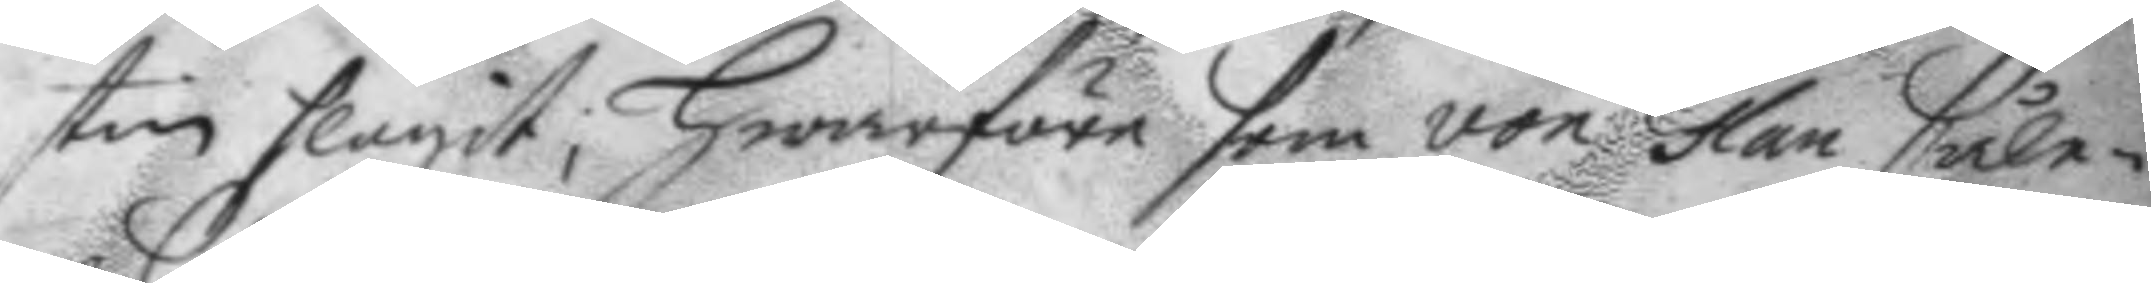stin slagit; Hwarföre som von Glan såle¬
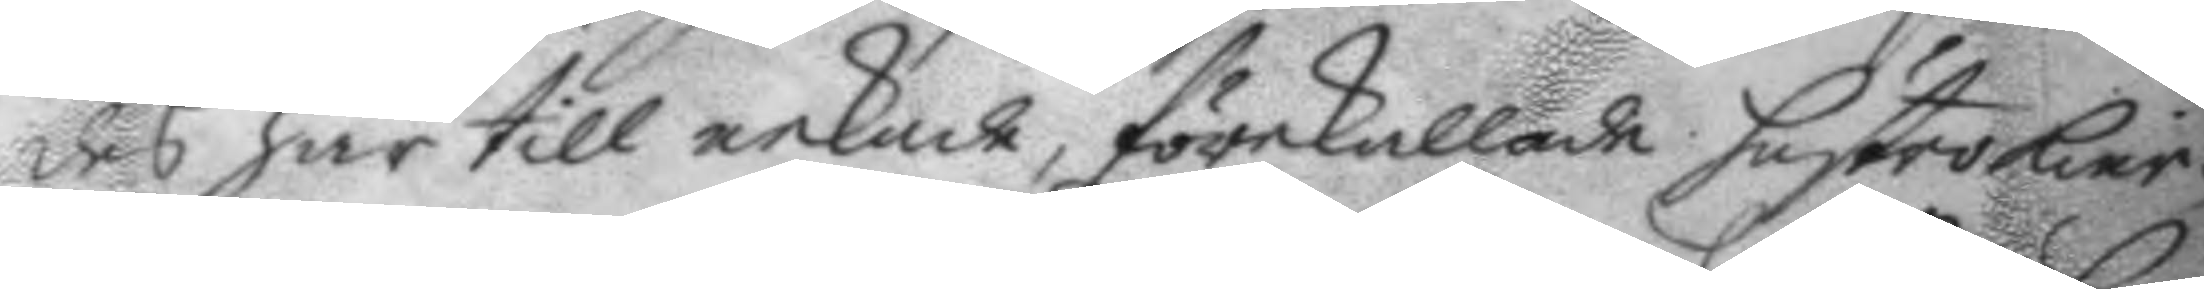des här till nekar, förekallade hustro kier¬
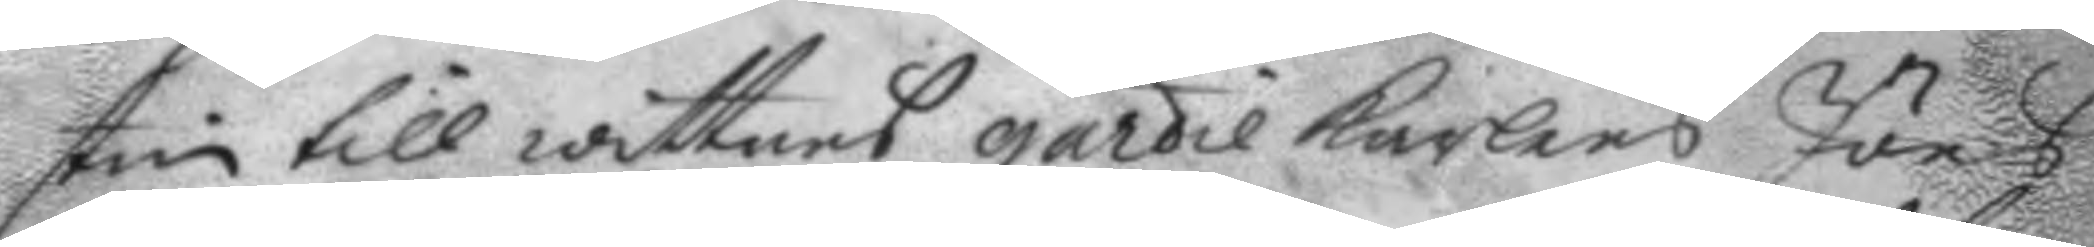stin till wittnes gardie karlens Jöns
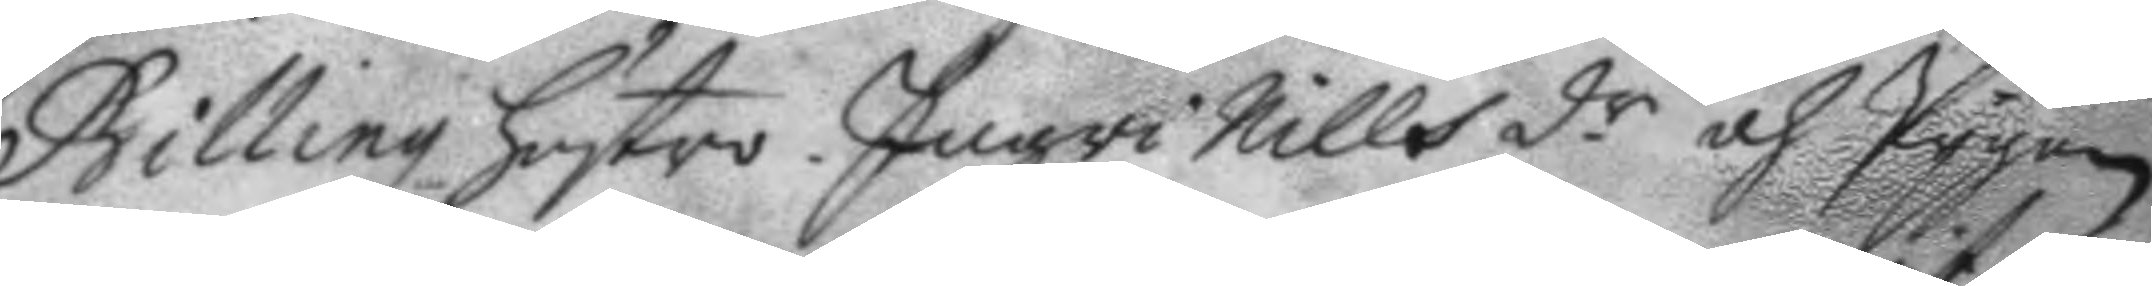Billingz hustro Ingri Nills d.r och Pygan
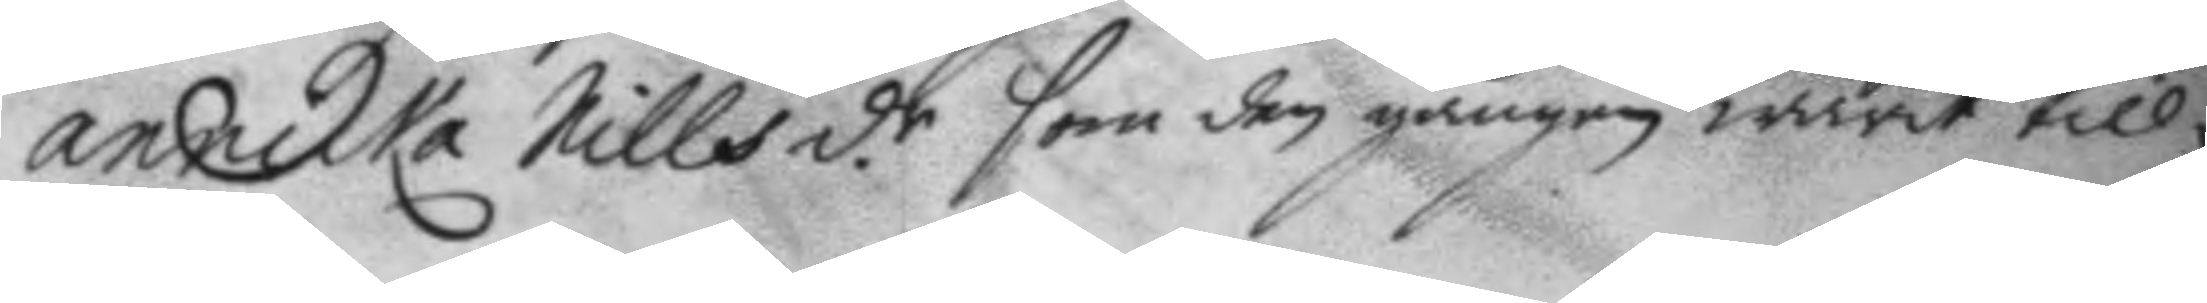annika Nills d.r som den gången warit till¬
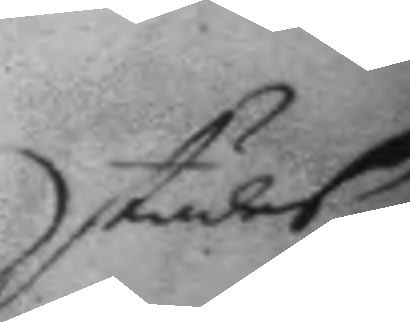städes.
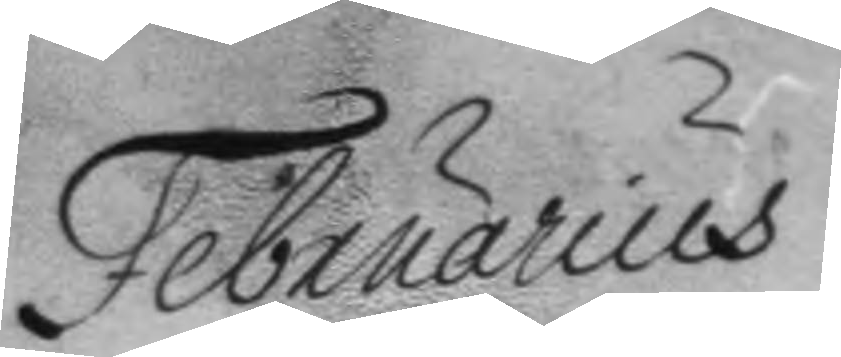Februarius	
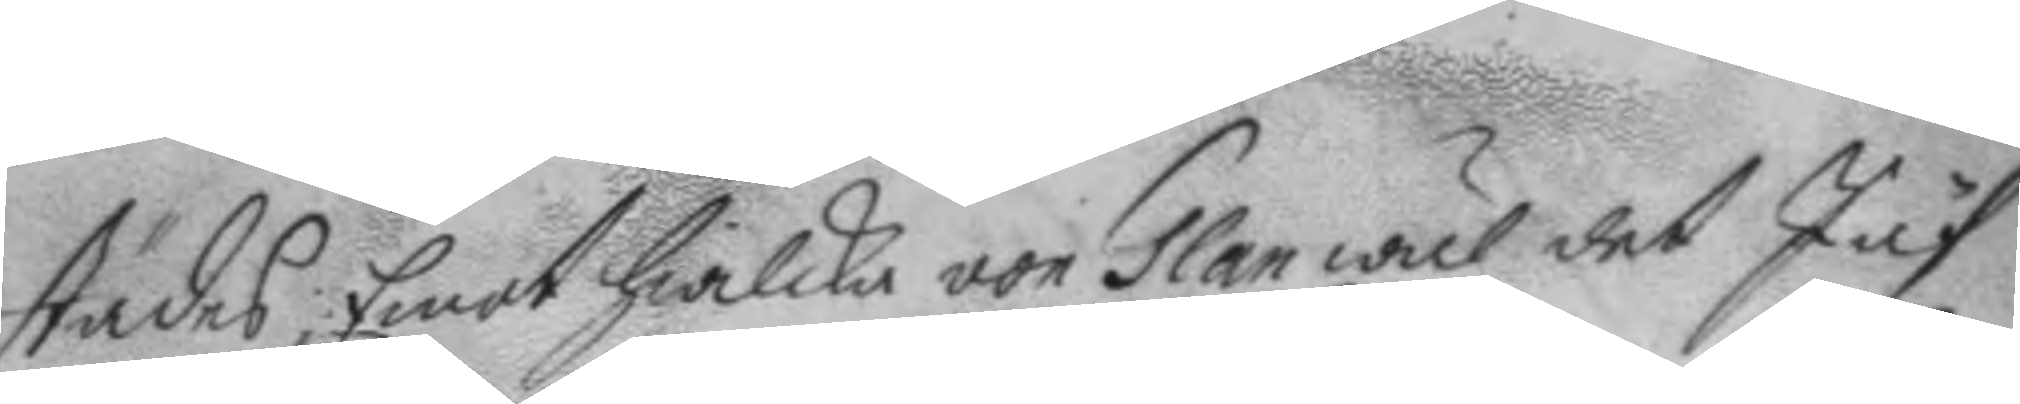städes, Emot hwilka von Glan wäl det Jäf
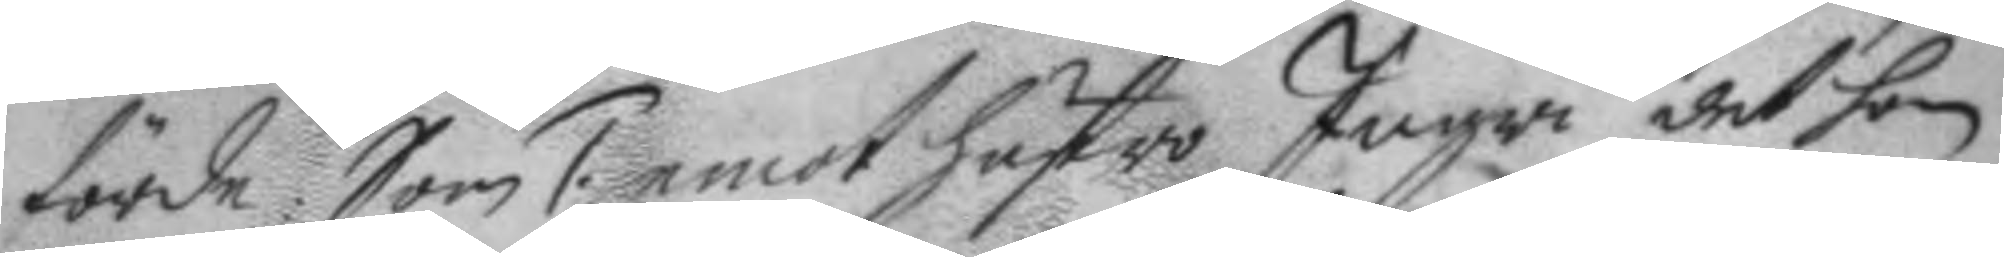förde: Som 1. emot hustro Ingri det hon
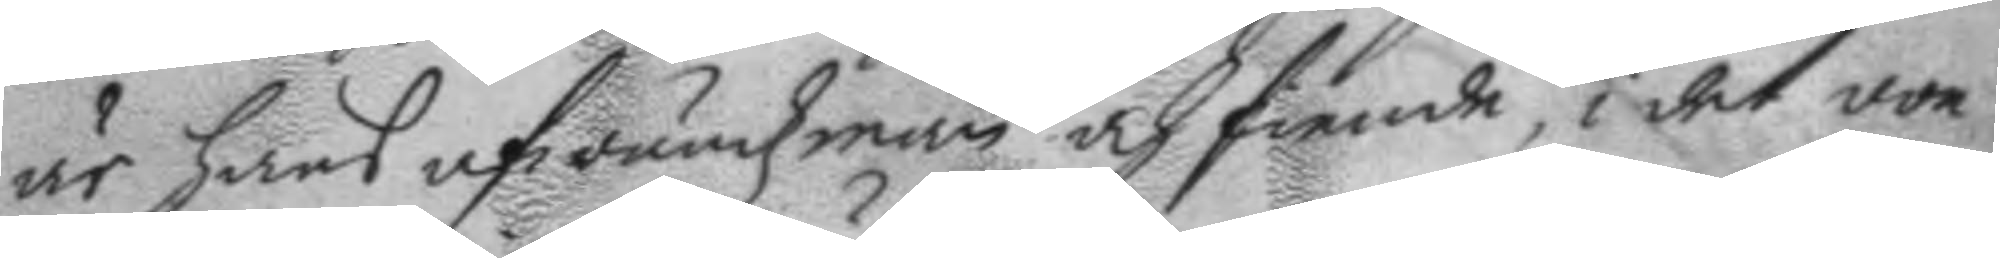är hans afwundzman och fiende, i det von
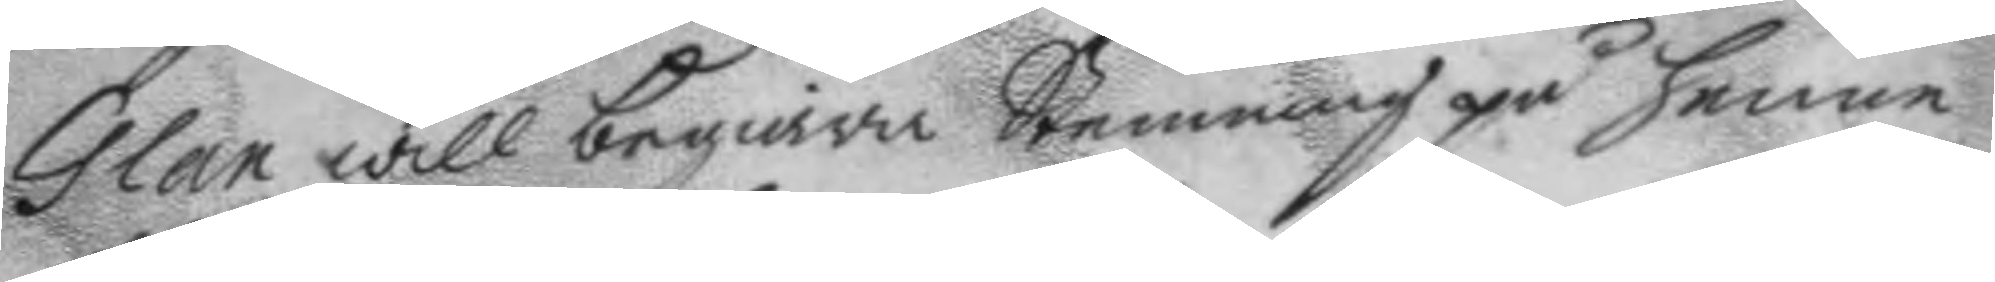Glan will begiära Stemning på henne
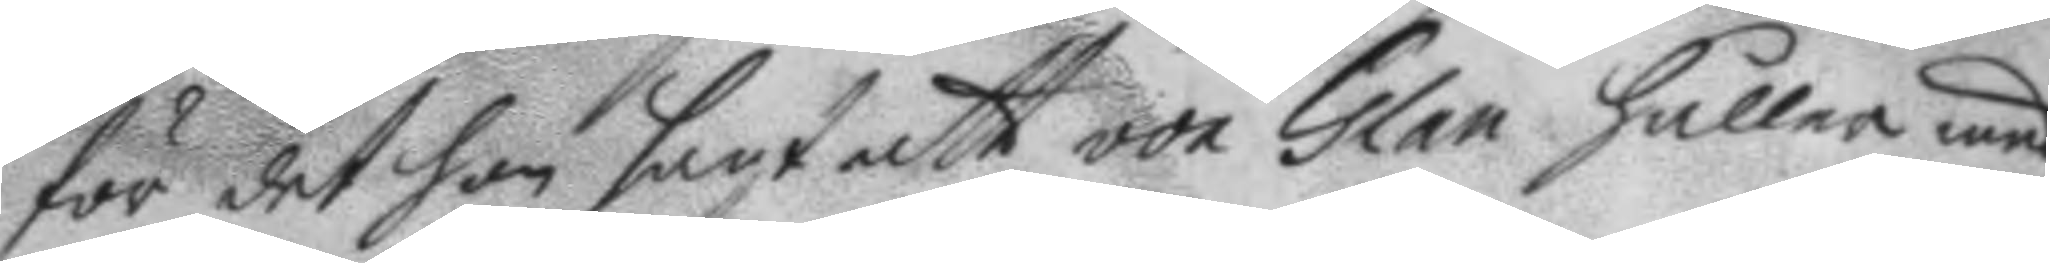för det hon sagt att von Glan håller med
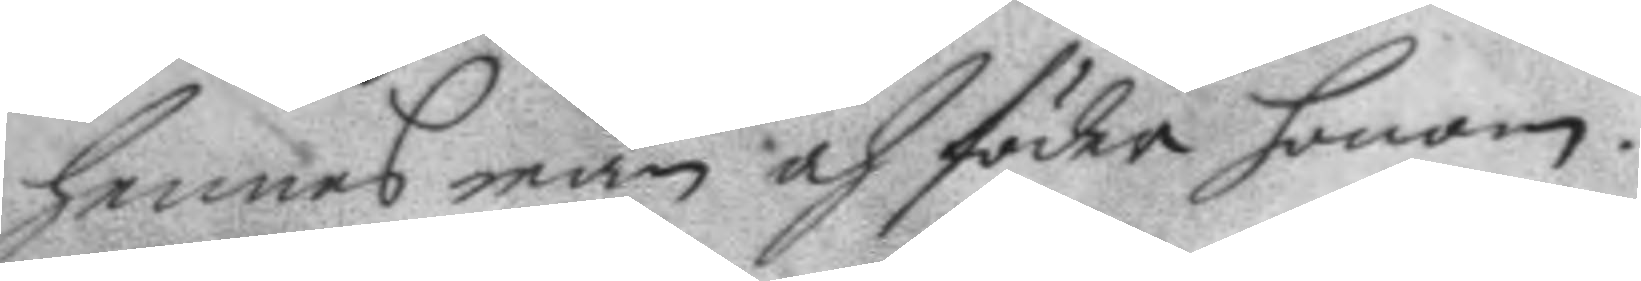hennes man och föder honom.
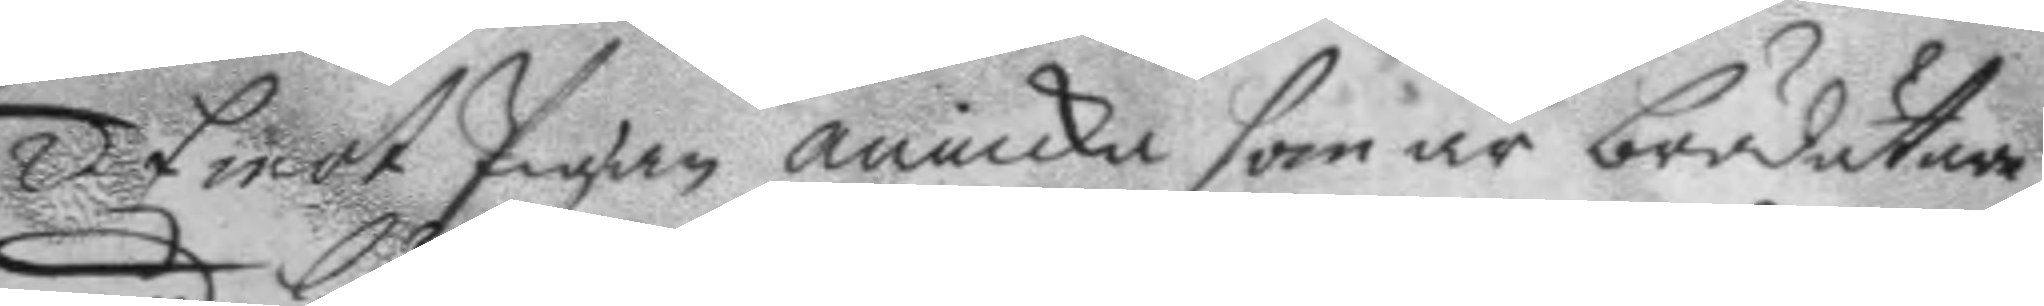2. Emot Pigan annicka som är brödätare
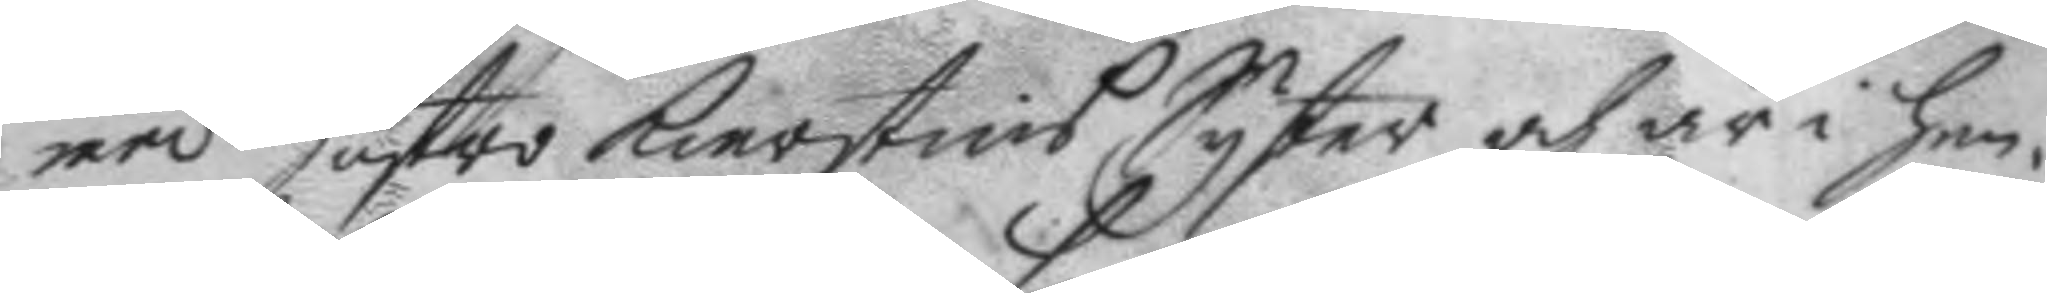med hustro Kierstins Syster och är i hen¬
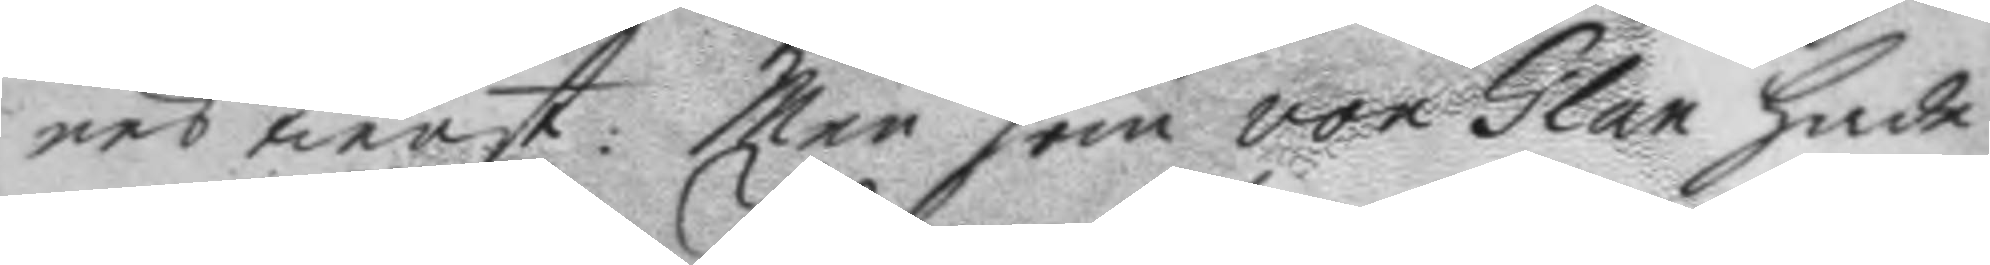nes tienst. Men som von Glan hade
